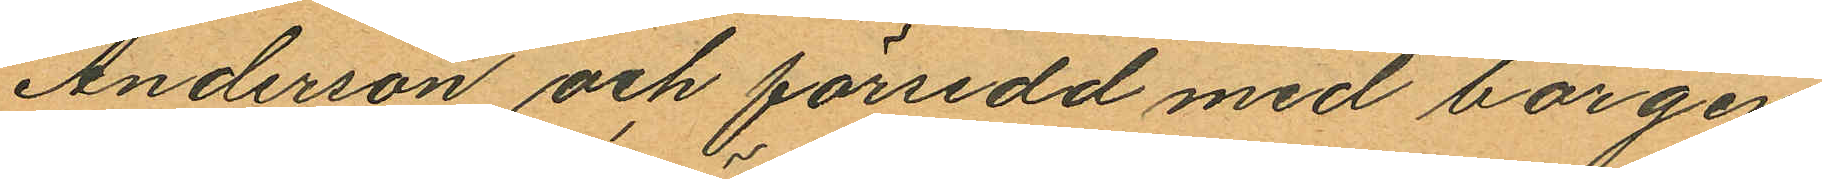Anderson och försedd med borgen
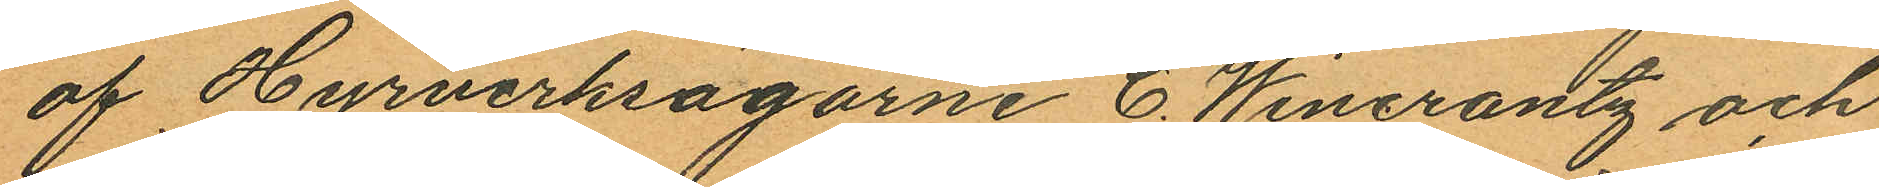af Hyrverksägarne C. Wincrantz och
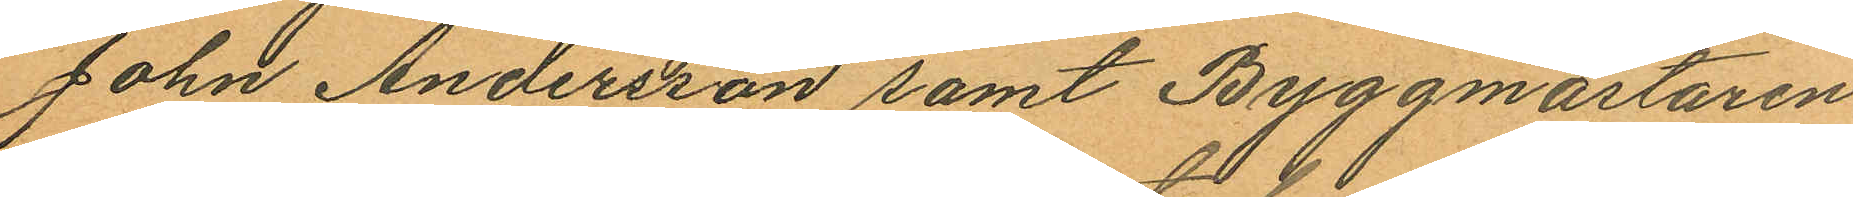John Andersson samt Byggmästaren
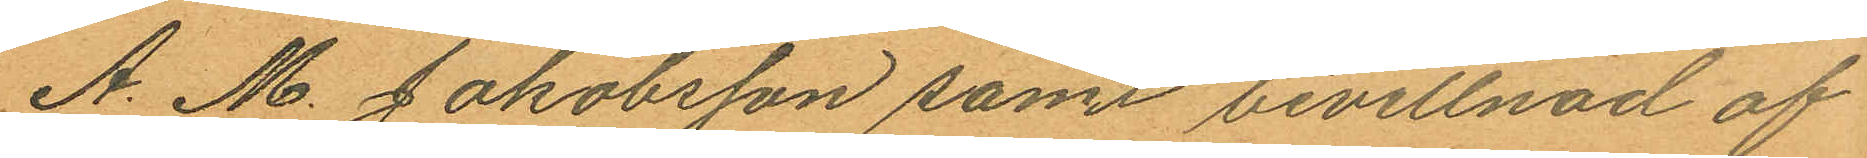A. M. Jakobsson samt bevittnad af
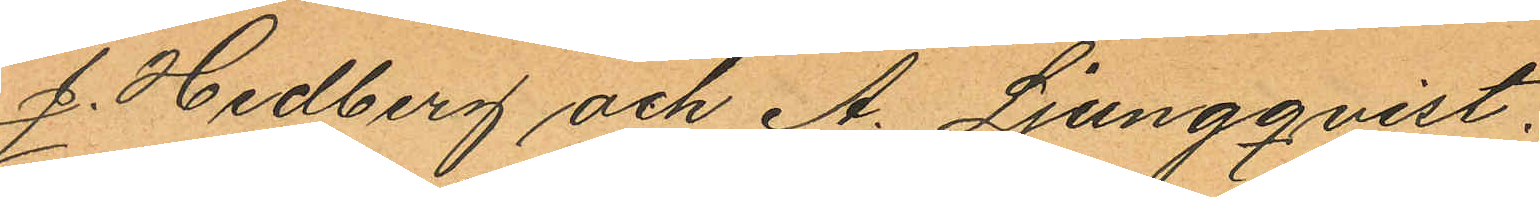J. Hedberg och A. Ljungqvist.
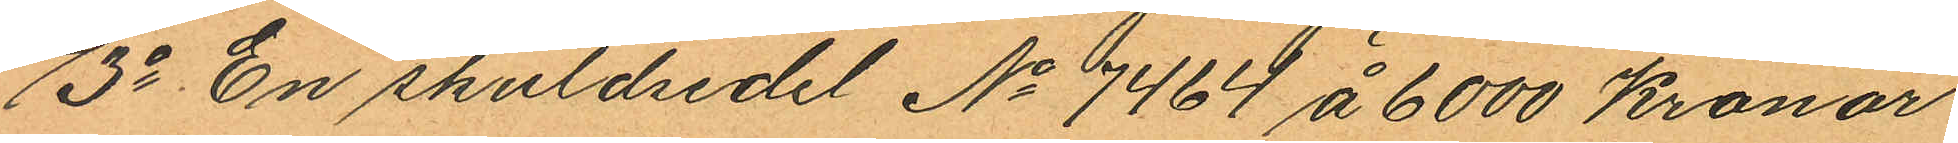3o En skuldsedel No 7464 å 6000 Kronor
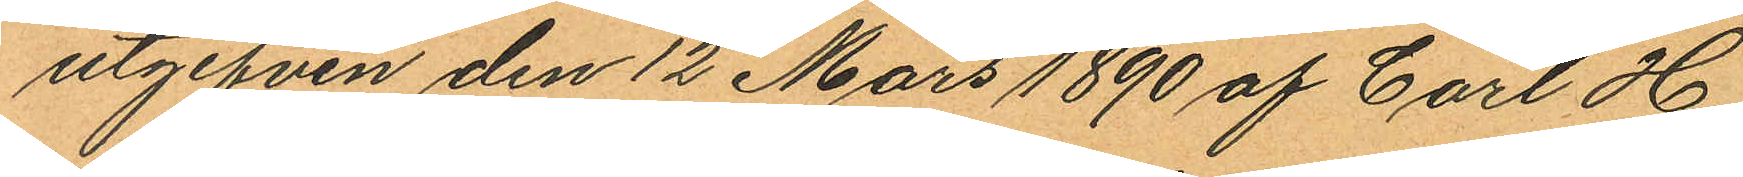utgifven den 12 Mars 1890 af Carl H
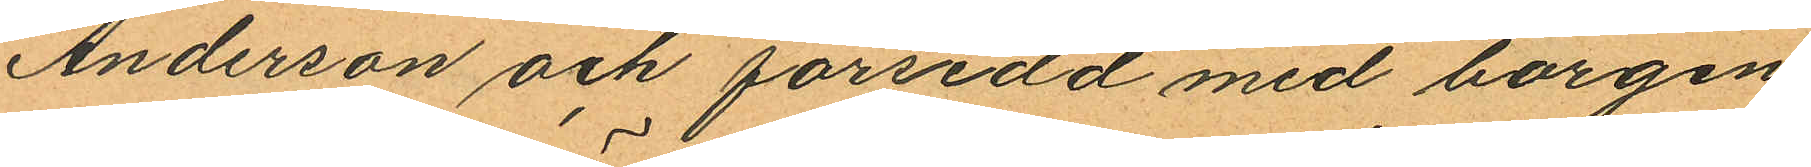Anderson och försedd med borgen
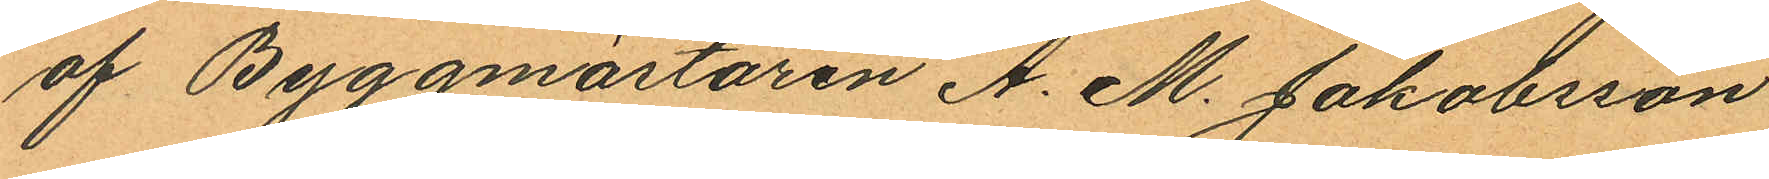af Byggmästaren A. M. Jakobsson
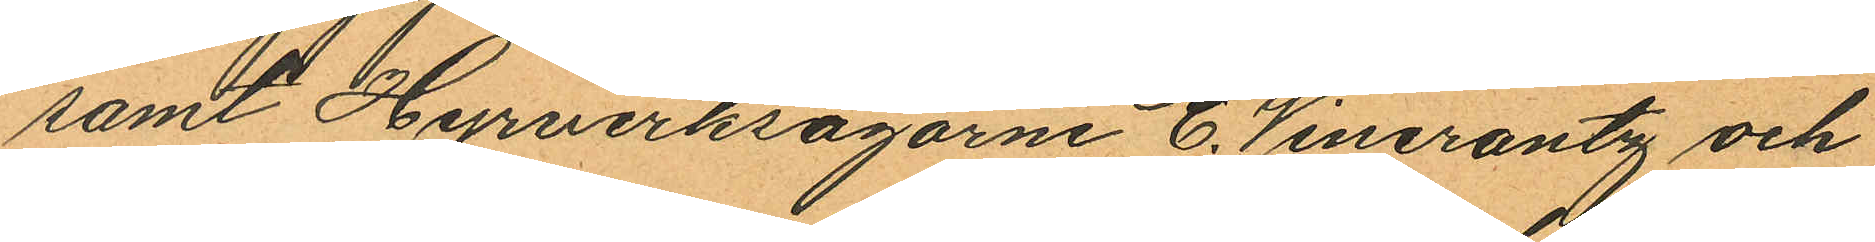samt Hyrverksägarne C. Wincrantz och
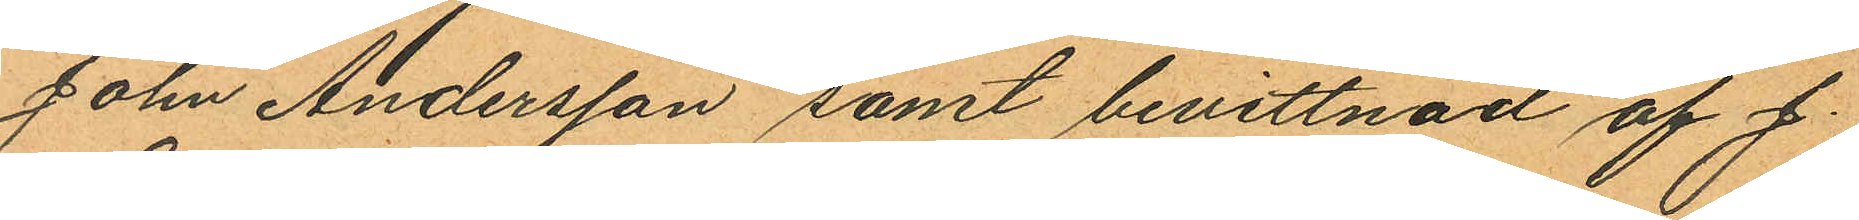John Andersson samt bevittnad af J.
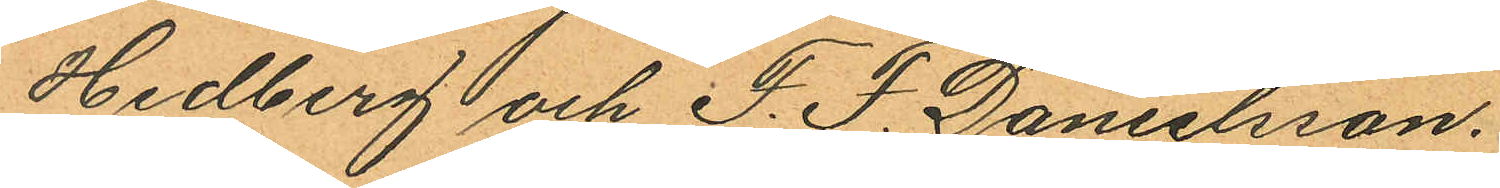Hedberg och F. F. Danielsson.
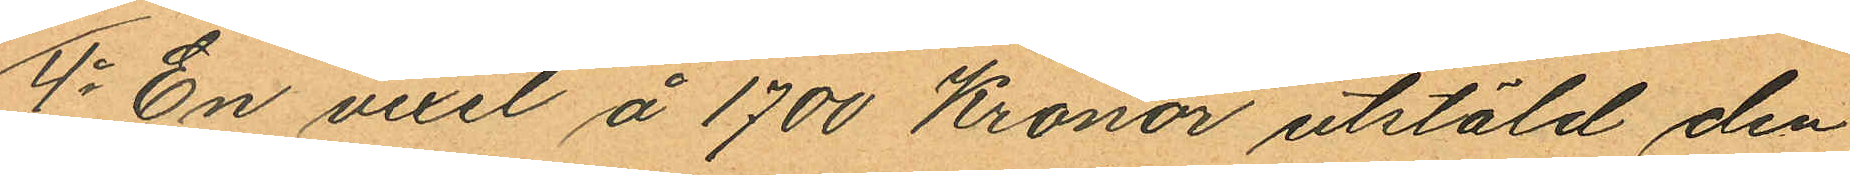4o En vexel å 1700 Kronor utstäld den
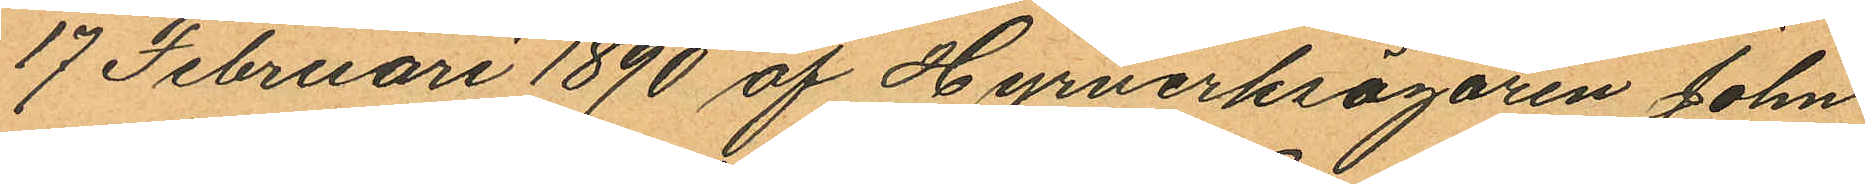17 Februari 1890 af Hyrverksägaren John
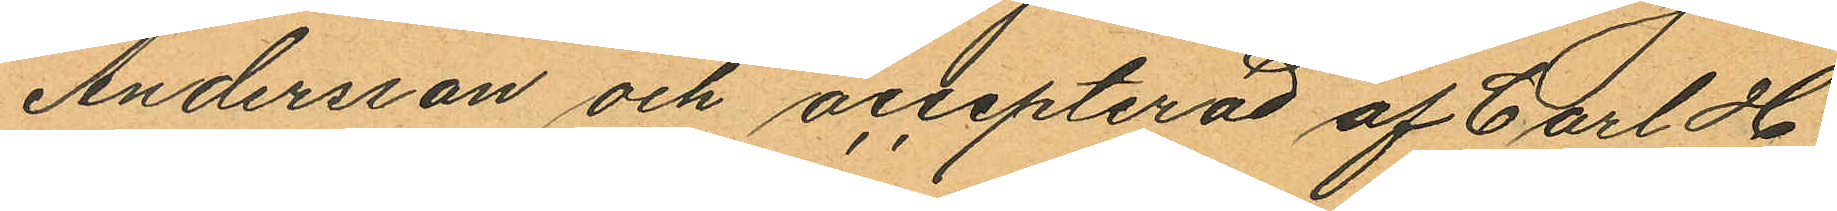Andersson och accepterad af Carl H
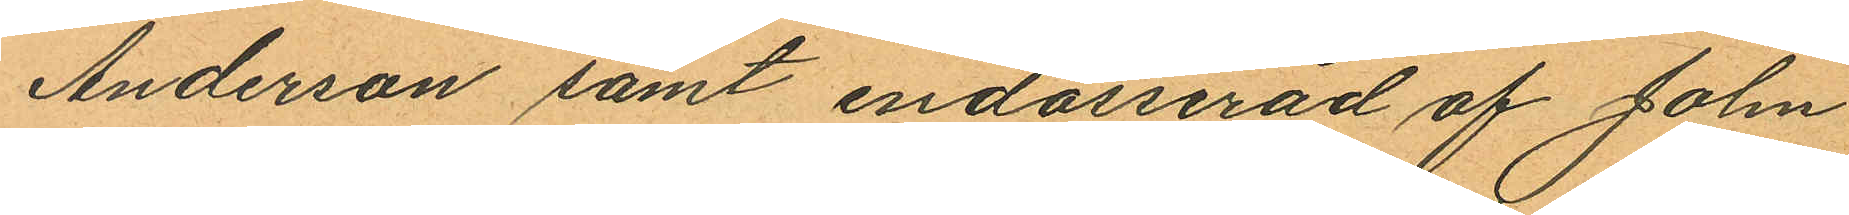Anderson samt endosserad af John
